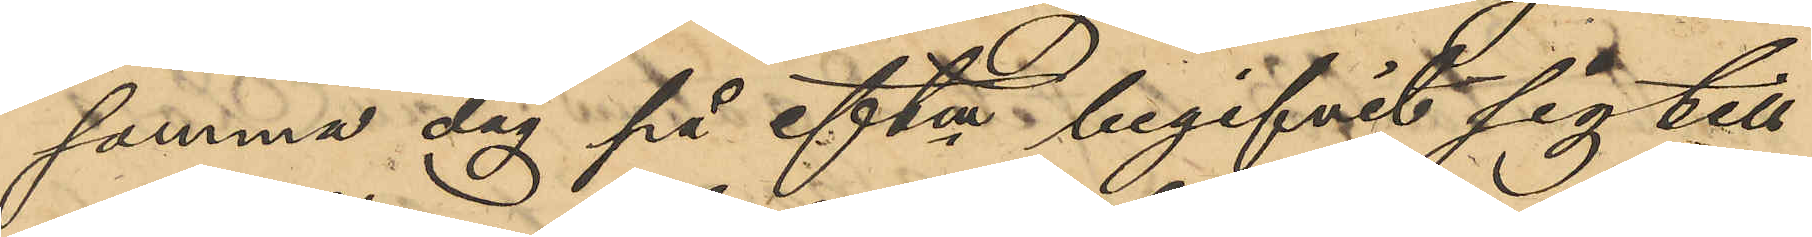samma dag på eftm begifvit sig till
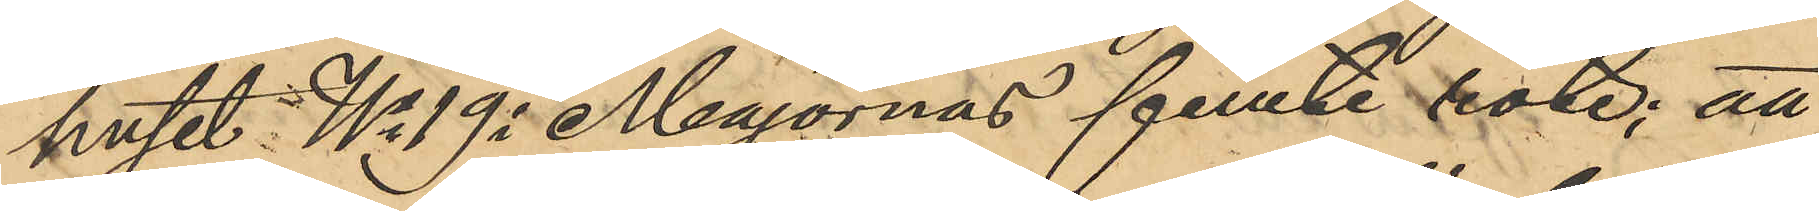huset No 19 i Majornas femte rote; att
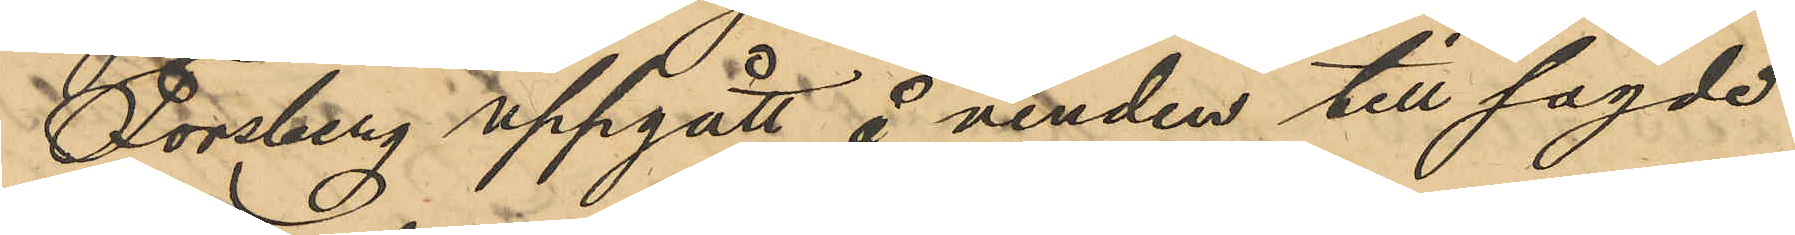Forsberg uppgått å vinden till sagde
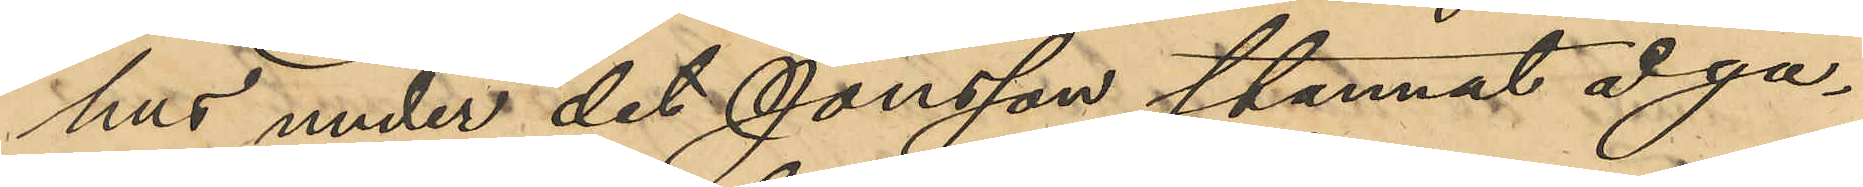hus under det Jonsson stannat å ga¬
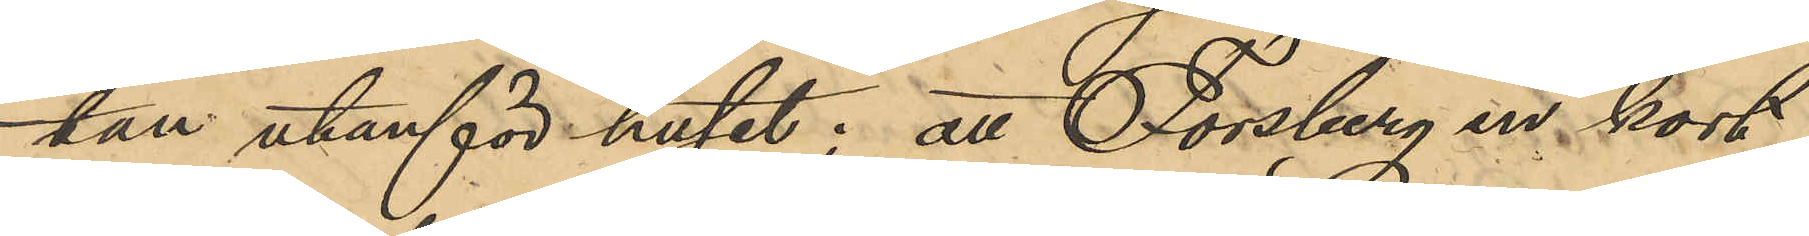tan utanför huset; att Forsberg en kort
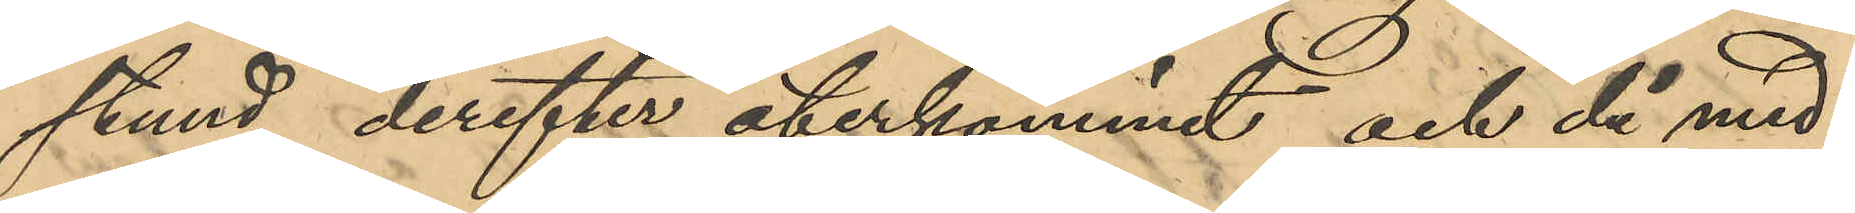stund derefter återkommit och då med¬
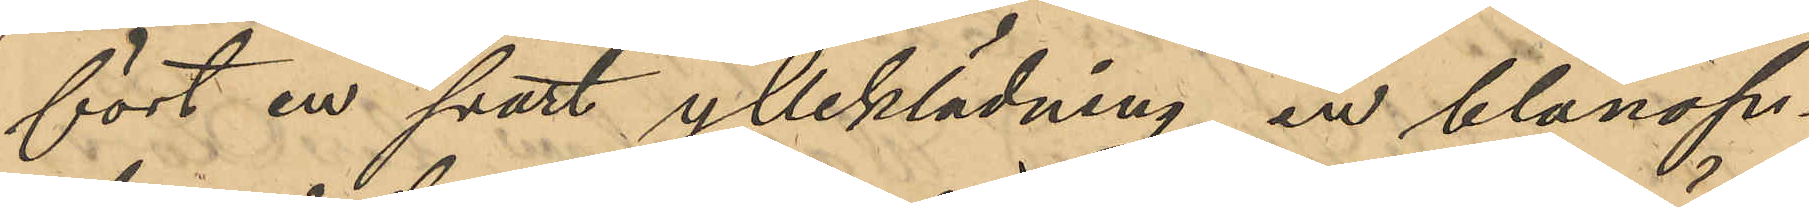fört en svart ylleklädning en blånop¬
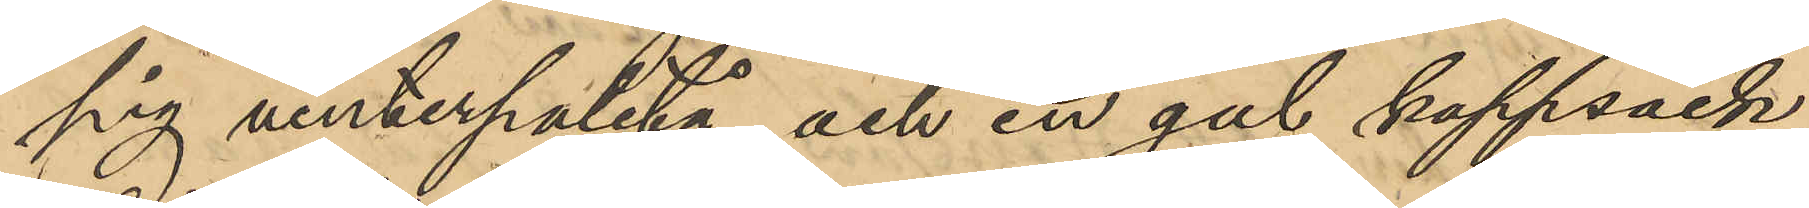pig vinterpaletå och en gul kappsäck,
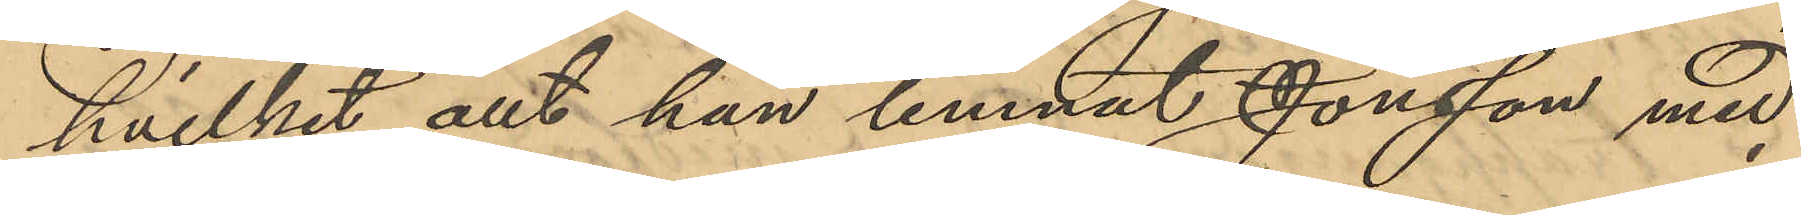hvilket allt han lemnat Jonsson med
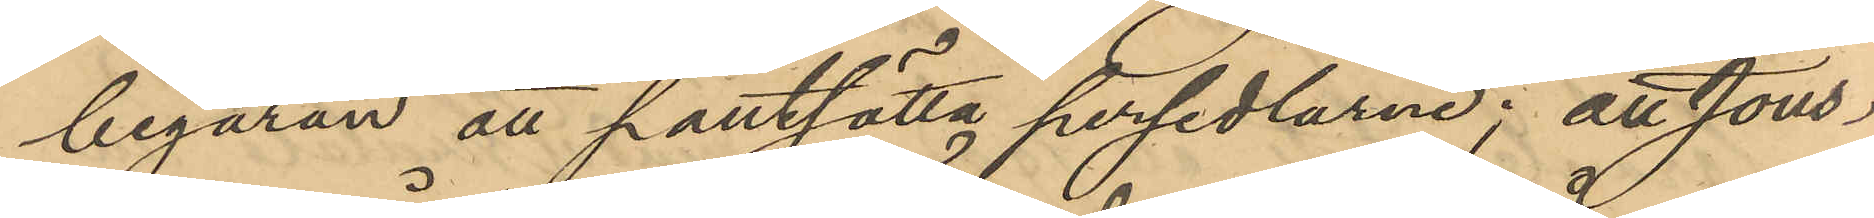begäran att pantsätta persedlarne; att Jons¬
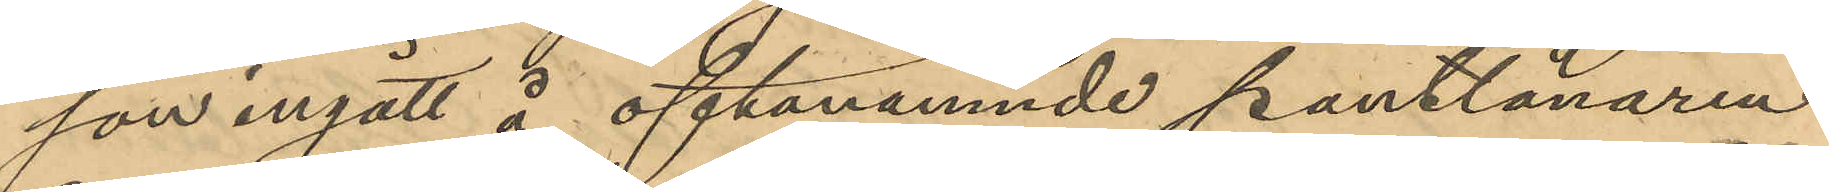son ingått å oftanämnde pantlånaren
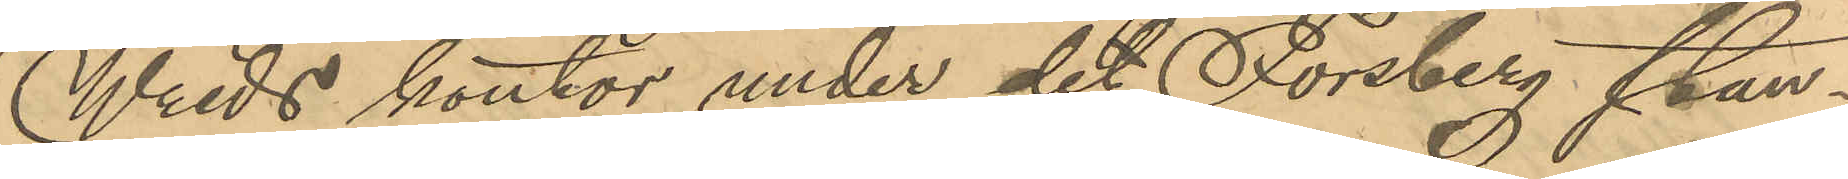Wreds kontor under det Forsberg stan¬
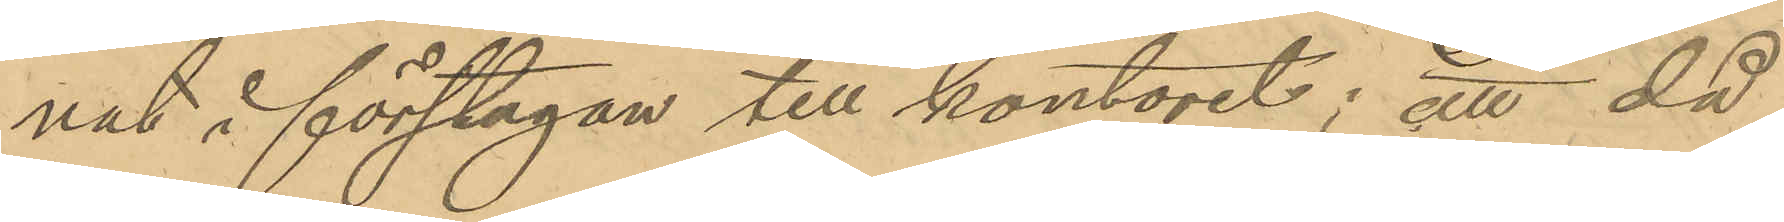nat i förstugan till kontoret; att då
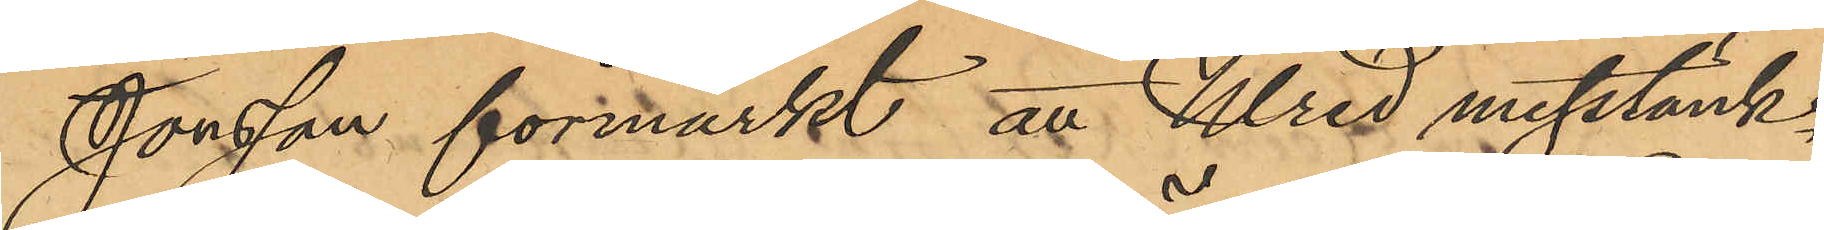Jonsson förmärkt att Wred misstänk¬
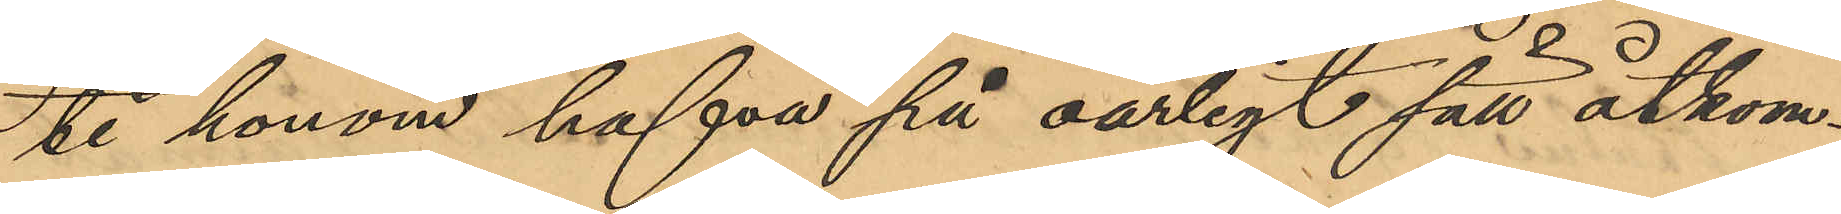te honom hafva på oärligt sätt åtkom¬
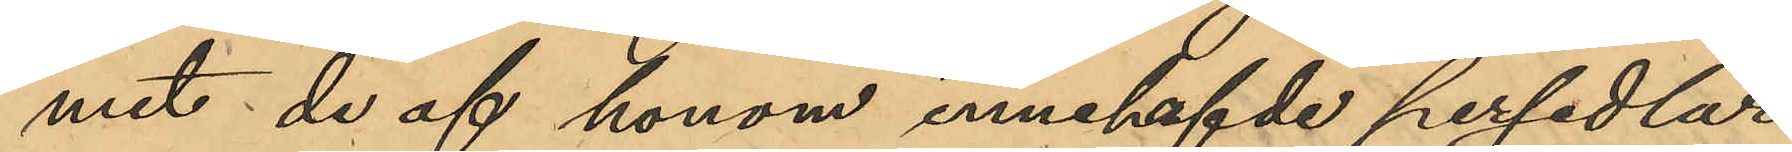mit de af honom innehafvde persedlar¬
